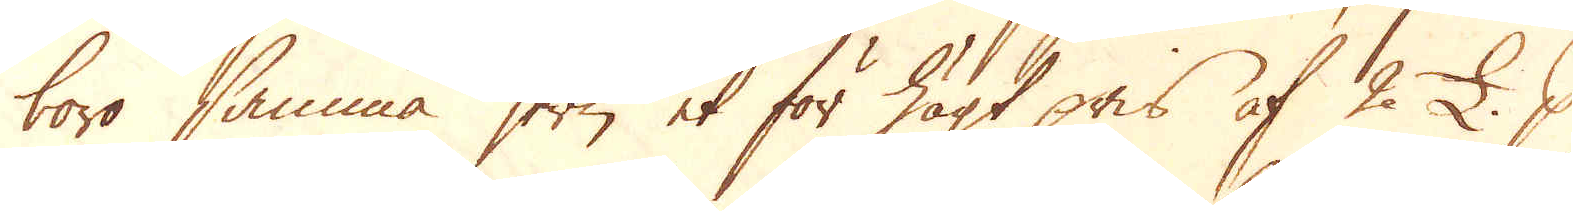woro samma jern et för högt pris af 2 £. p
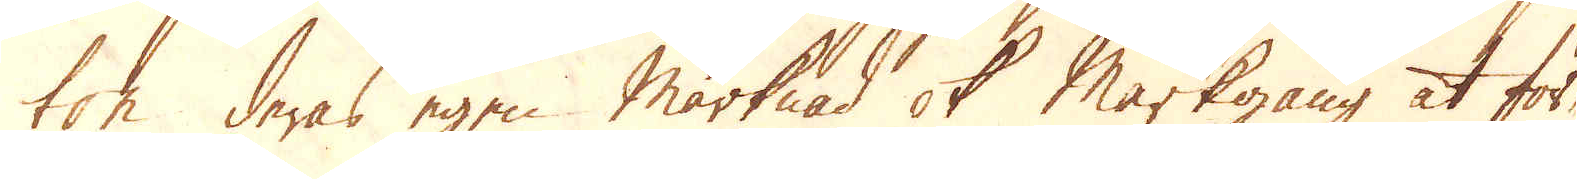ton deras egen Marknad ok Markgång at för-
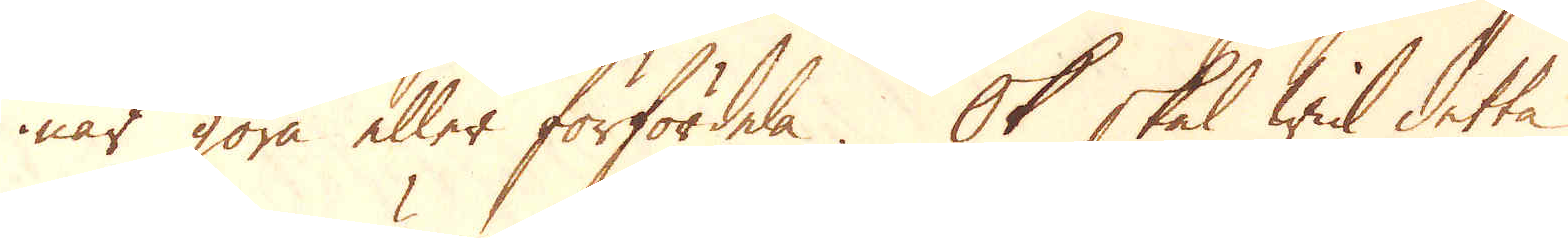när göra eller förfördela. Ok skal wid detta
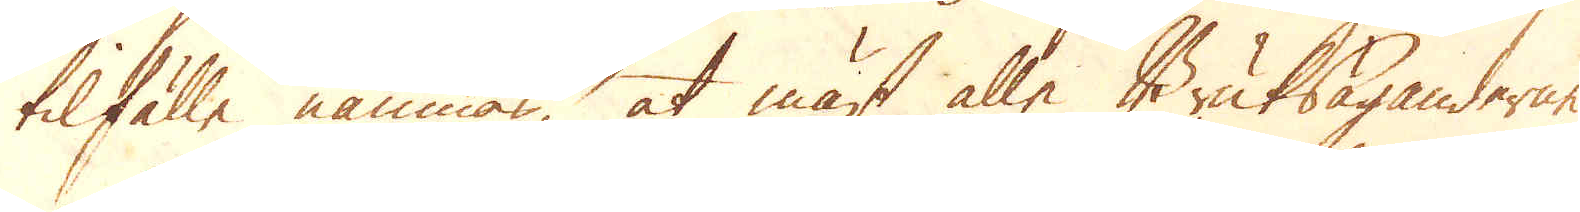tilfälle nämnas, at mäst alle Bruksäganderne
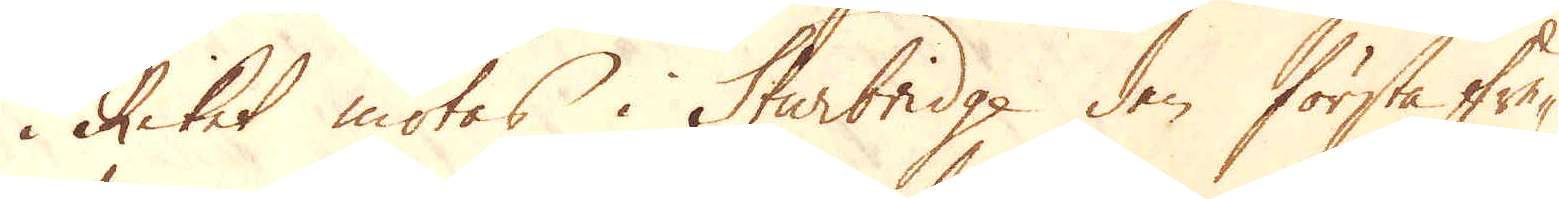i Riket mötas i Sturbridge den första fre-
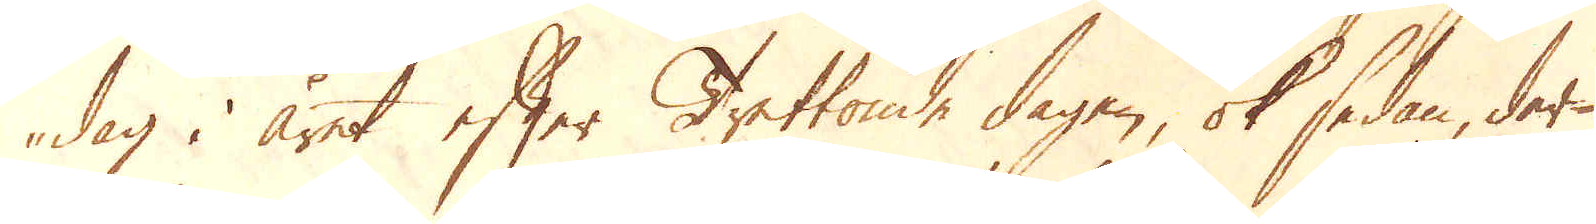dag i året efter Trettonde dagen, ok sedan, der-
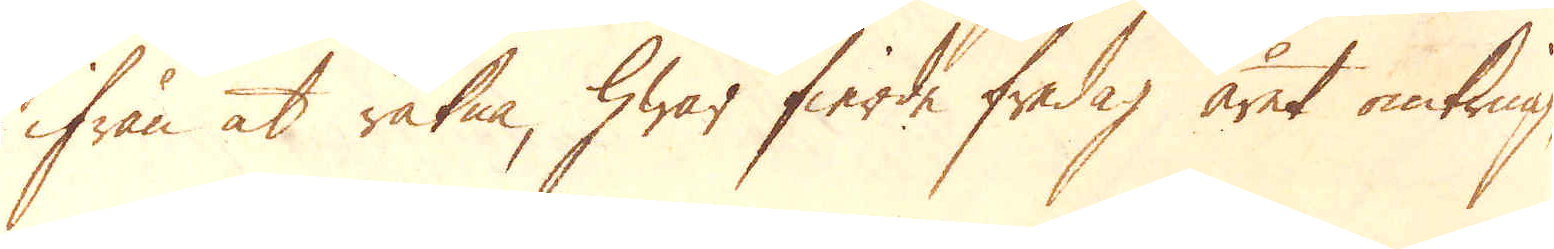ifrån at räkna, hwar fierde fredag året omkring,
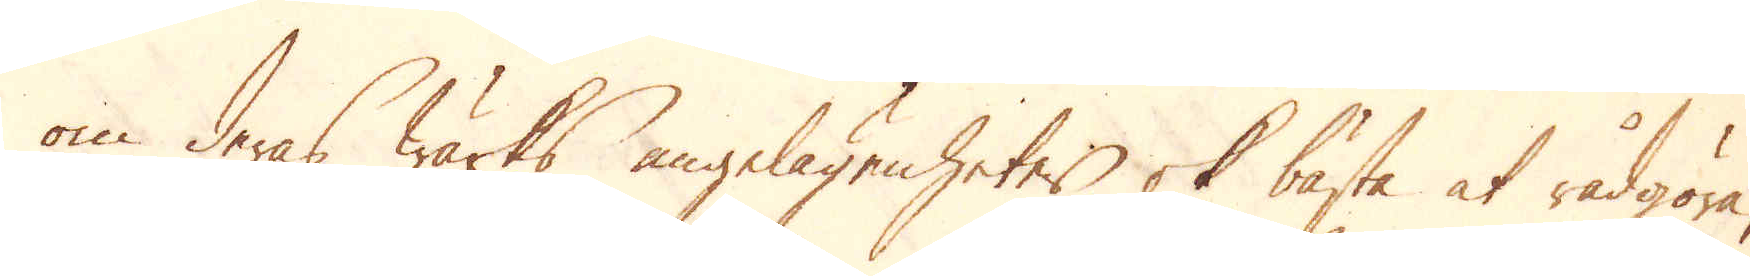om deras Wärks angelägenheter ok bästa at rådgöra,
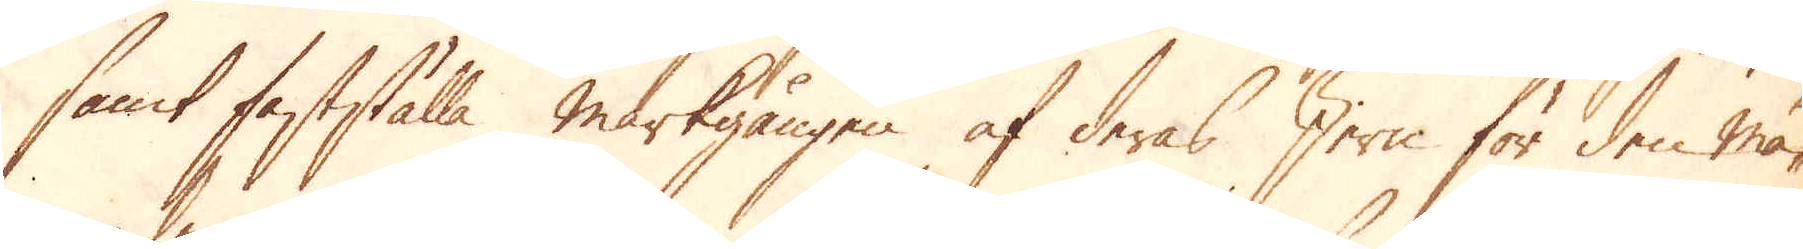samt fastställa markgången af deras Jern för den må-
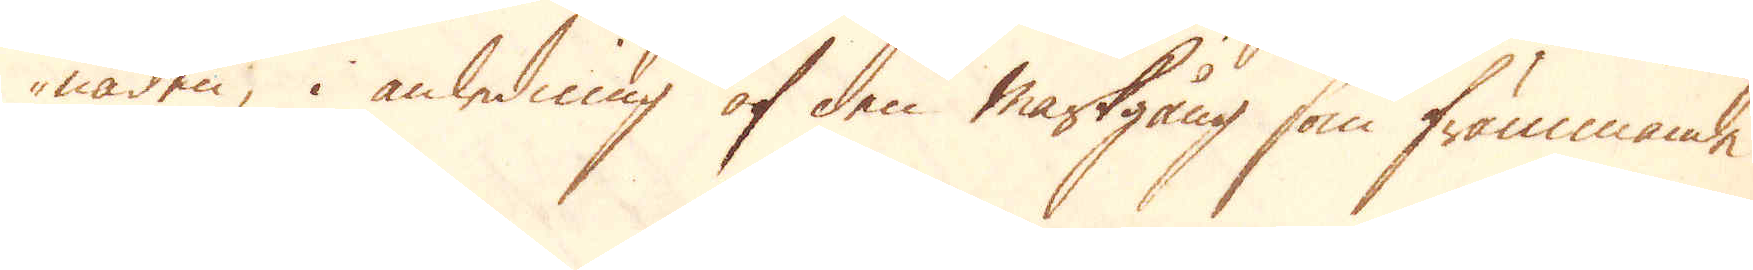naden, i anledning af den markgång som främmande
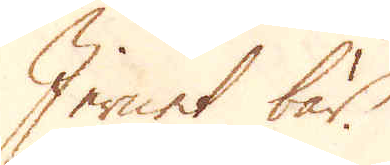Jernet bär.
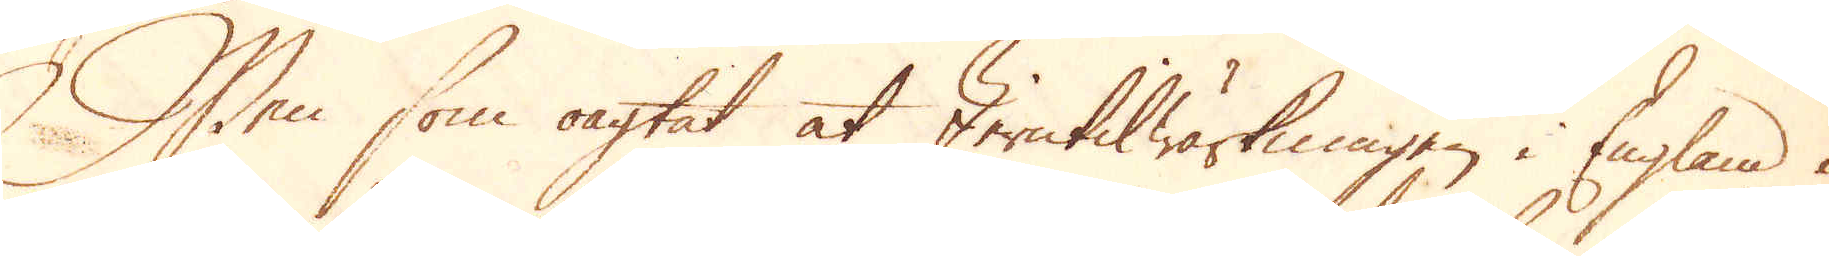Men som oagtat at Jerntilwärkningen i England i
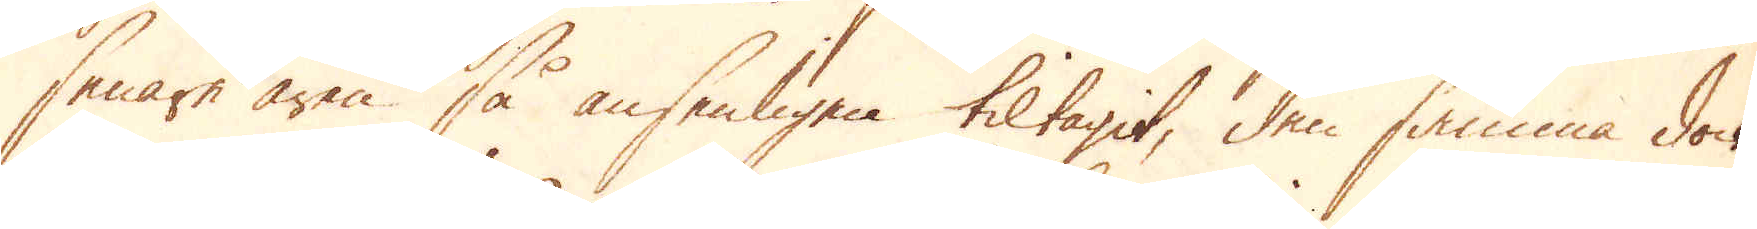senare åren så ansenligen tiltagit, den samma dock
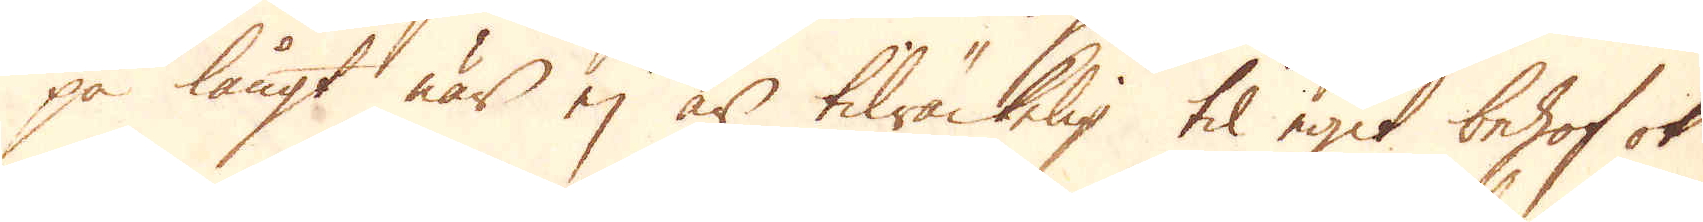på långt när ej är tilräckelig til egit behof ok
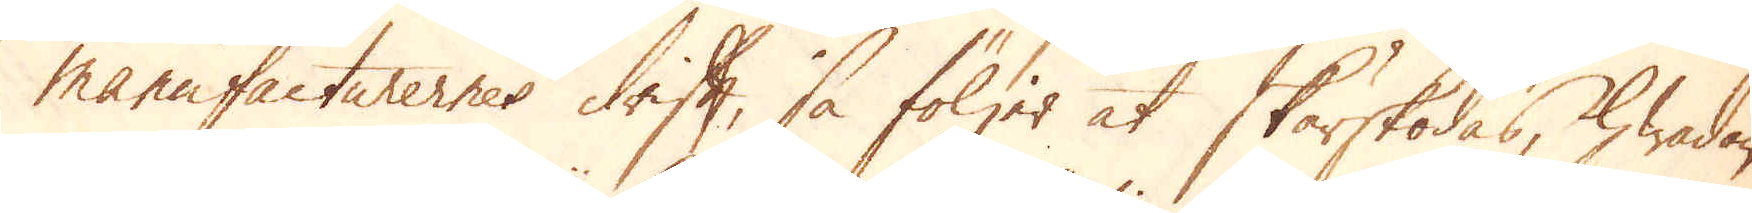manufacturernes drift, så följer at skärskodas, hwadan
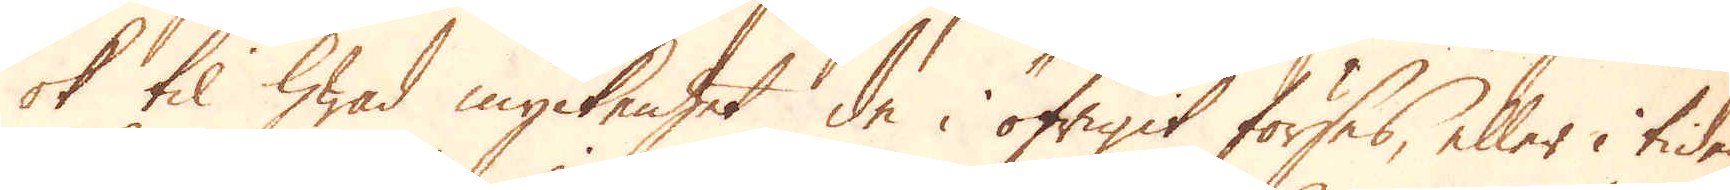ok til hwad myckenhet de i öfrigit förses, eller i tiden
